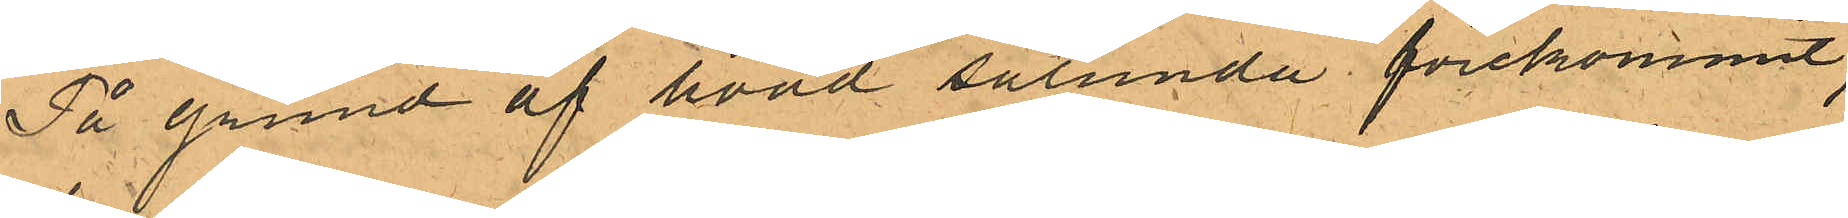På grund af hvad sålunda förekommit,
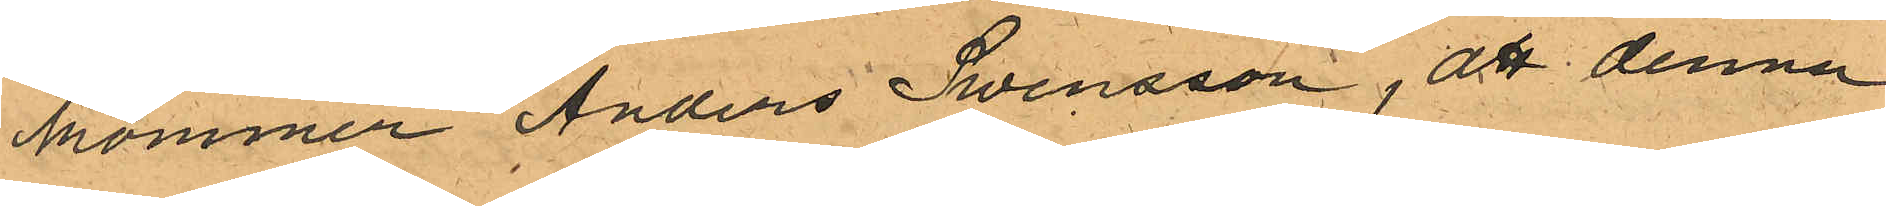kommer Anders Swensson, att denna
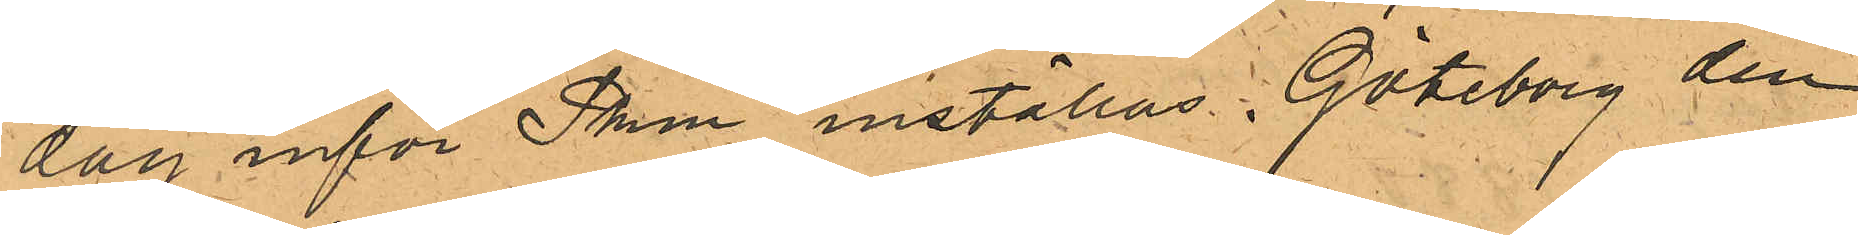dag inför Pken inställas. Göteborg den
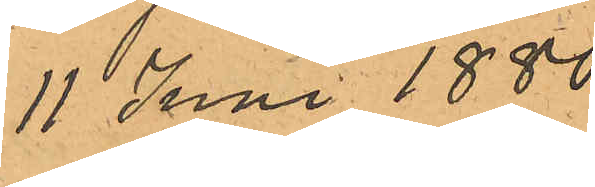11 Juni 1880.
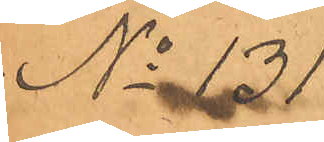No 131.
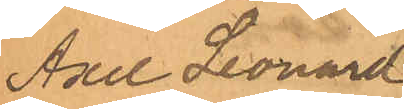Axel Leonard
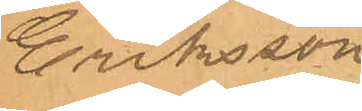Eriksson
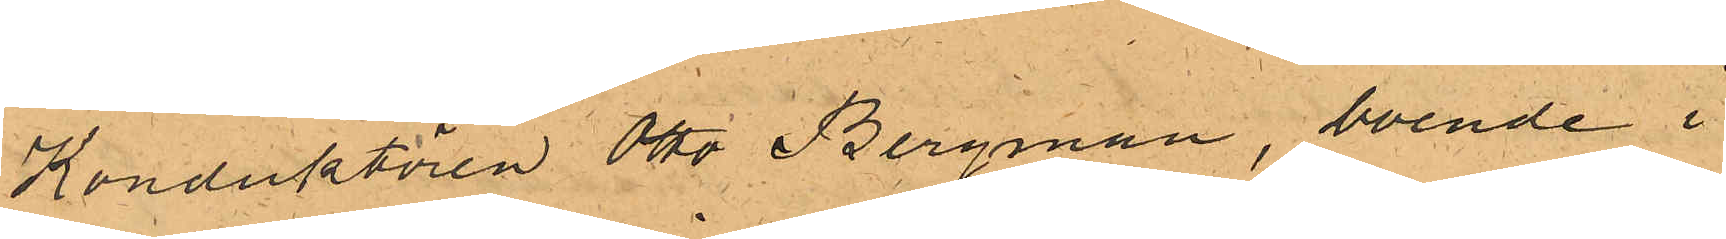Konduktören Otto Bergman, boende i
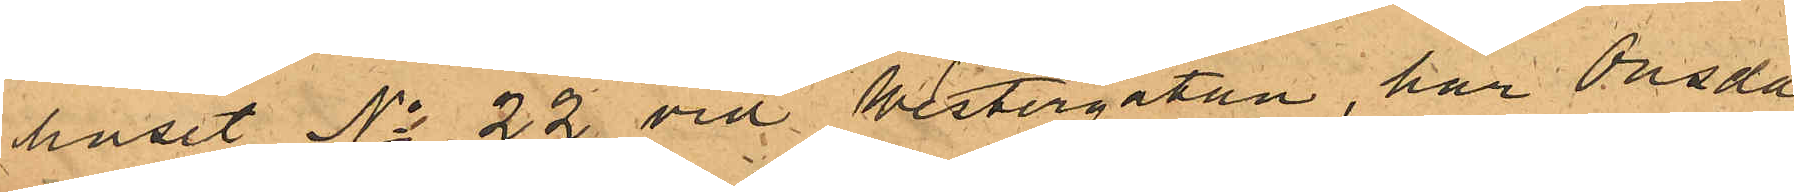huset No 22 vid Westergatan, har Onsda¬
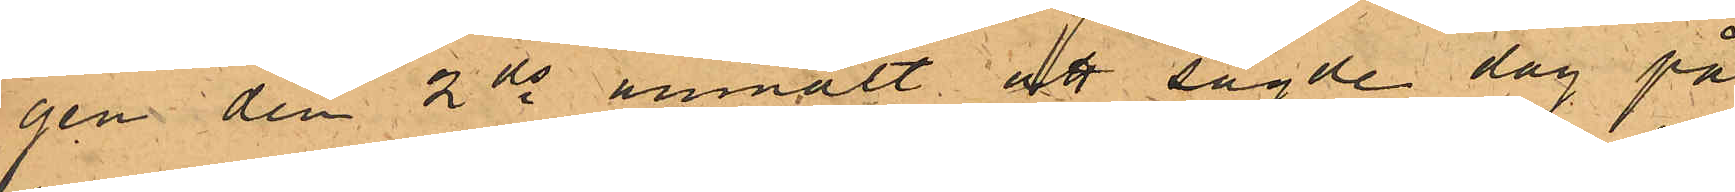gen den 2 ds anmält att sagde dag på
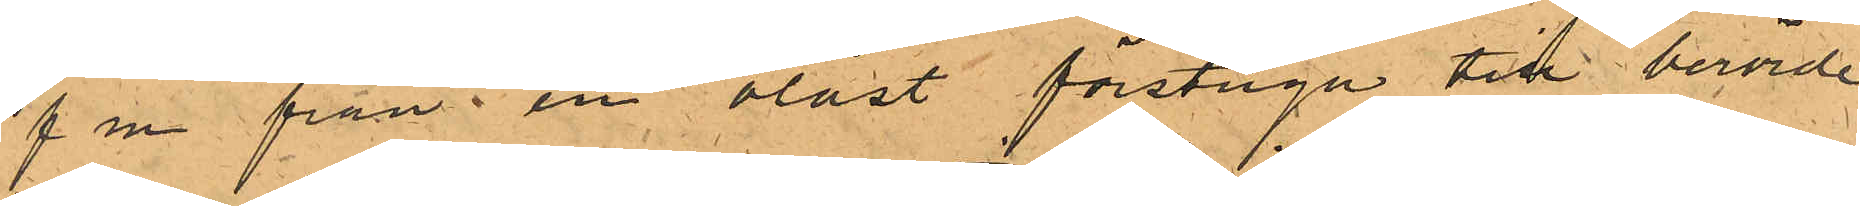f m från en olåst förstuga till berörde
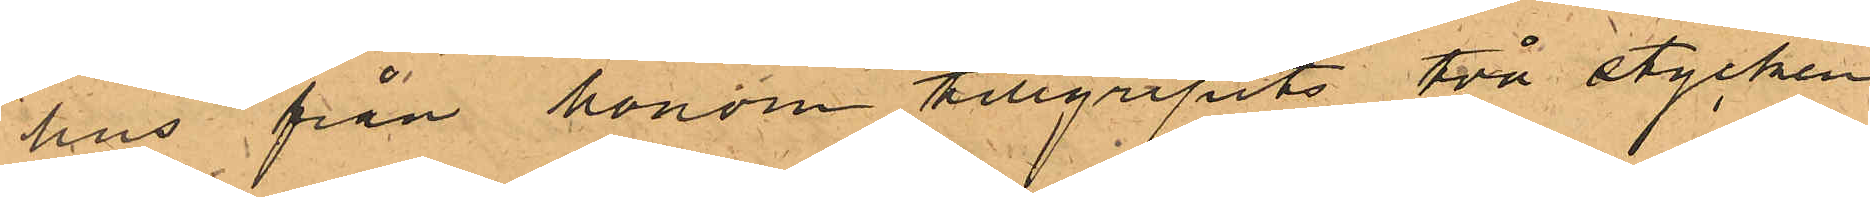hus från honom tillgripits två stycken
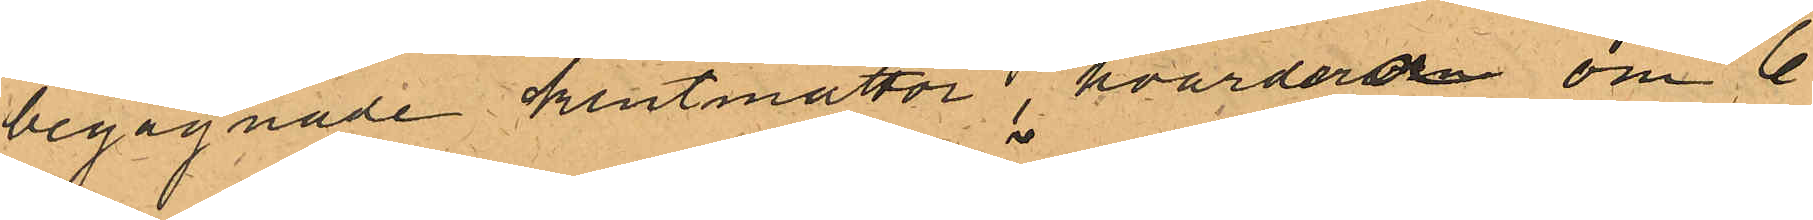begagnade klutmattor, hvardera om 6
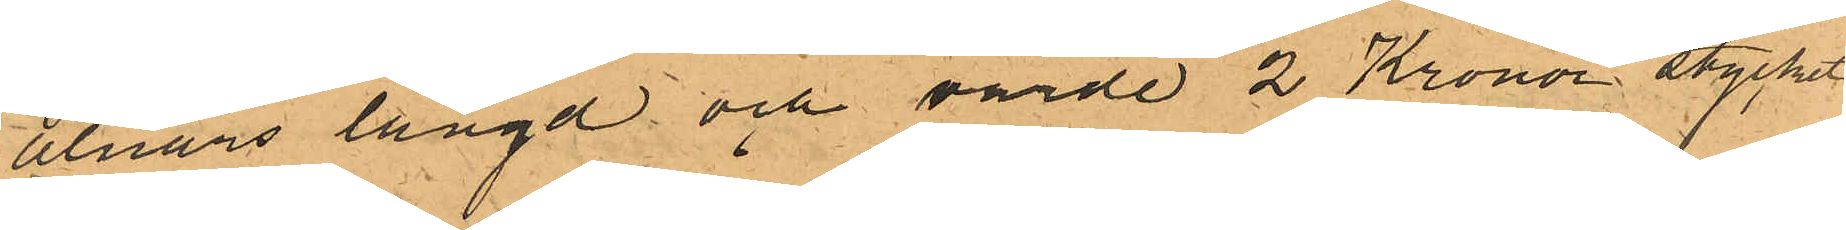alnars längd och värde 2 Kronor stycket
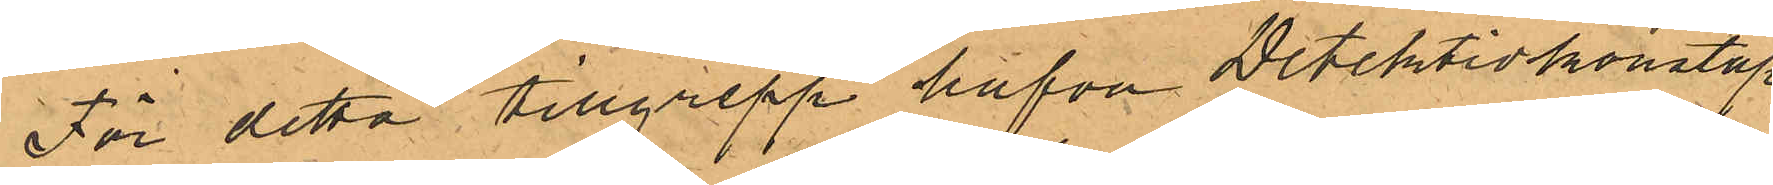För detta tillgrepp hafva Detektivkonstap¬
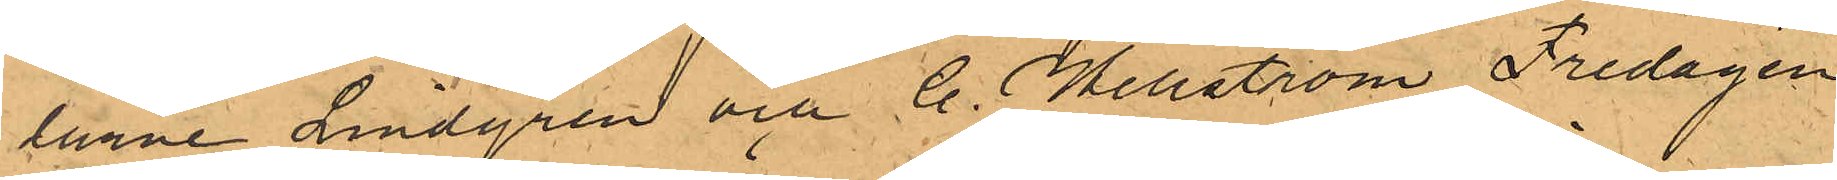larne Lindgren och C. Hellström Fredagen
